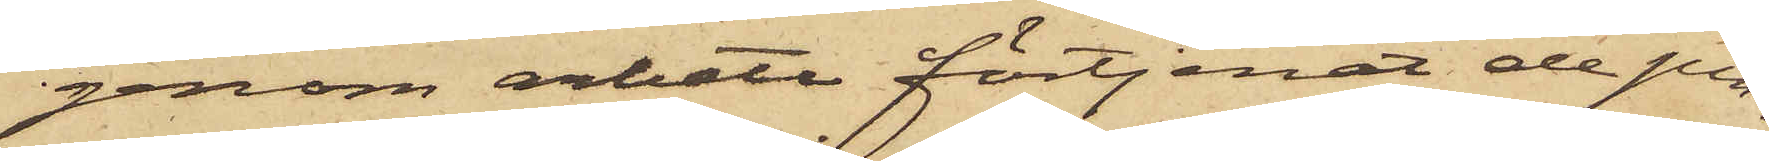genom arbete förtjenat de pen¬
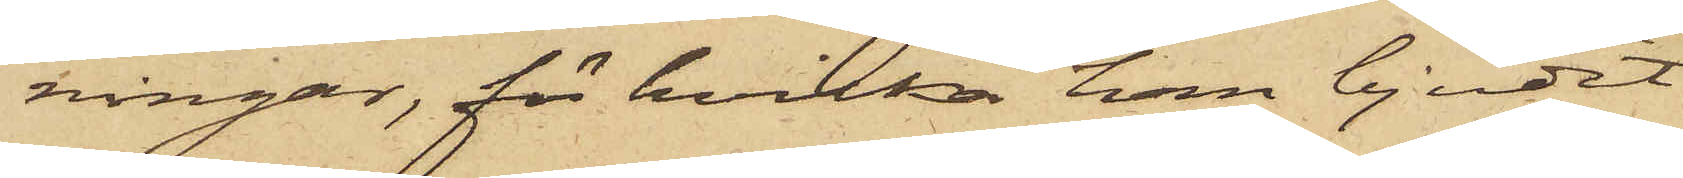ningar, för hvilka han bjudit
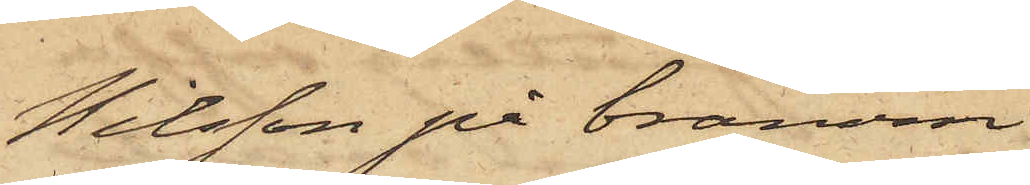Nilsson på bränvin.
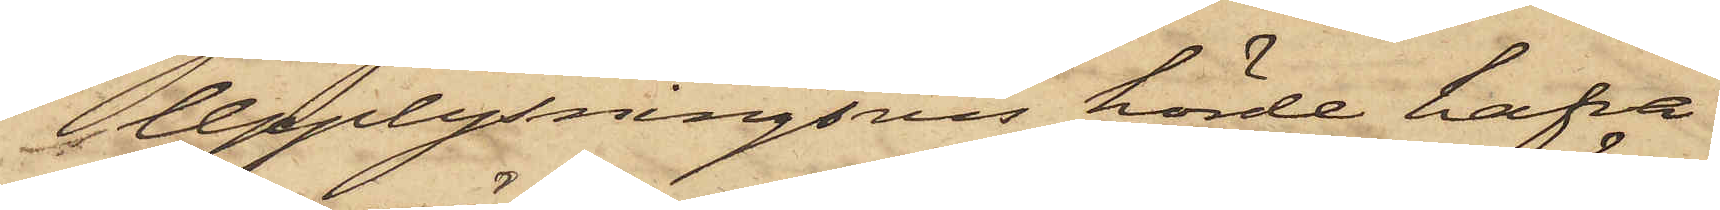Upplysningsvis hörde hafva
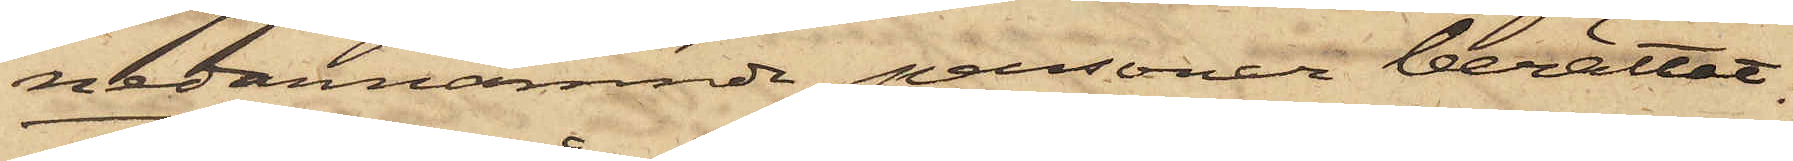nedannämnde personer berättat:
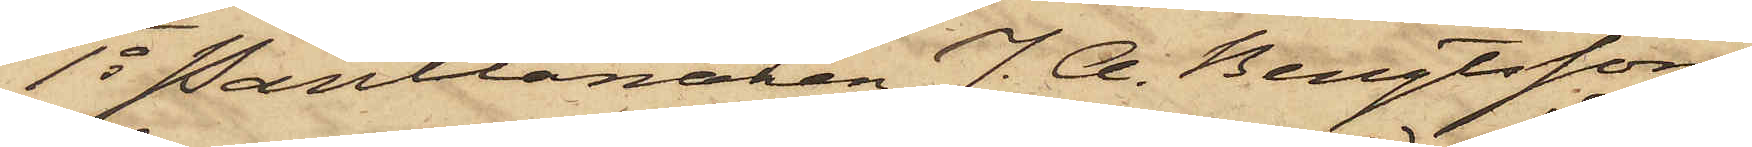1o Pantlånaren J. A. Bengtsson,
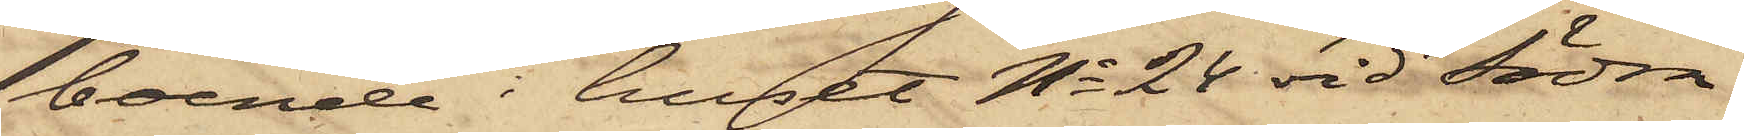boende i huset No 24 vid Södra
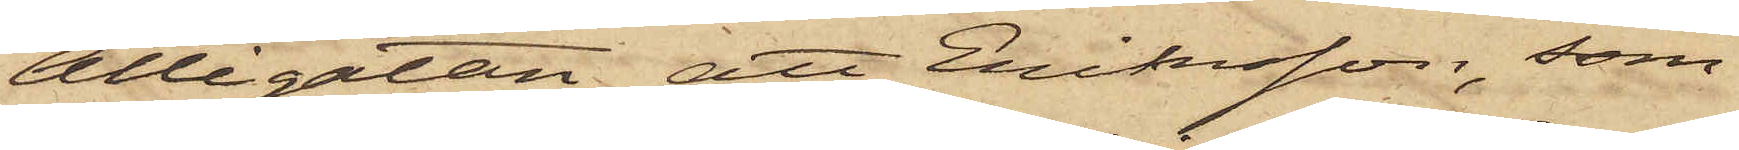Allégatan, att Eriksson, som
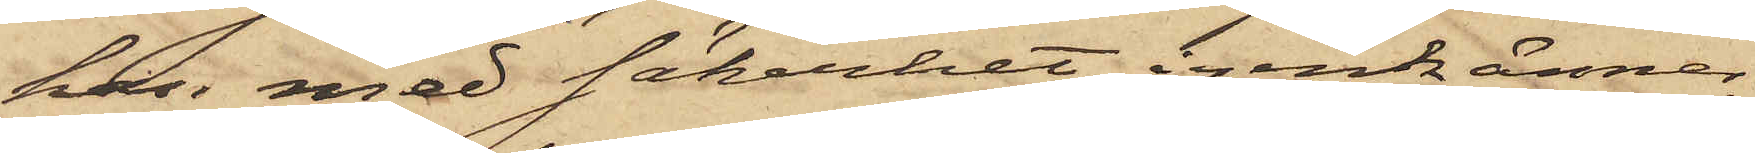han med säkerhet igenkänner,
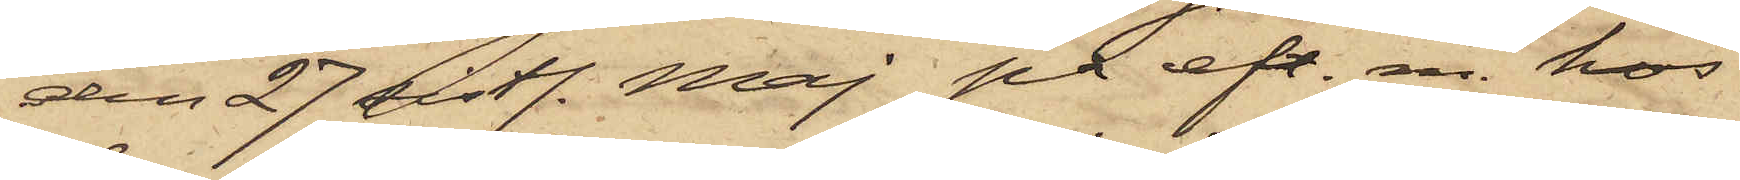den 27 sistl. Maj på eft. m. hos
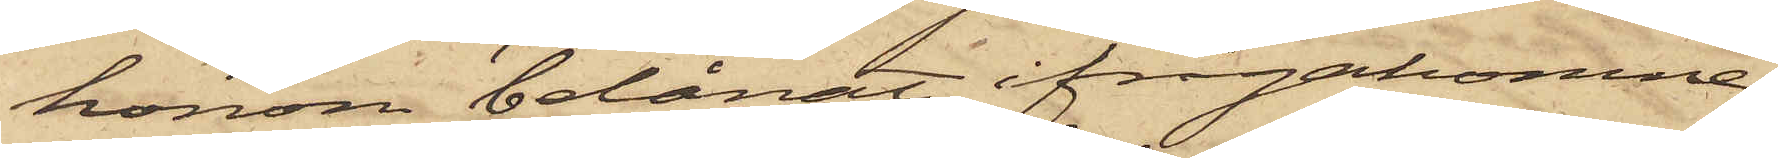honom belånat ifrågakomne
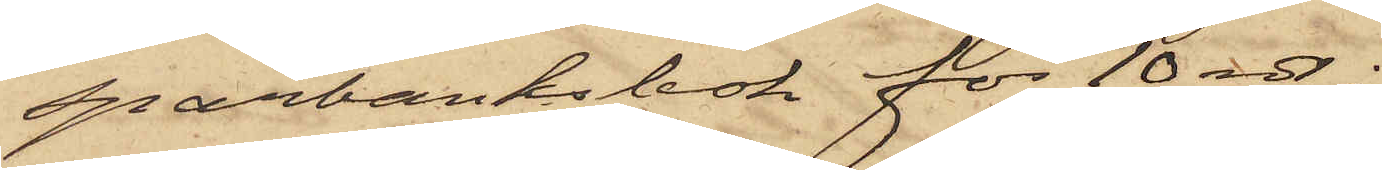sparbanksbok för 10 rdr;
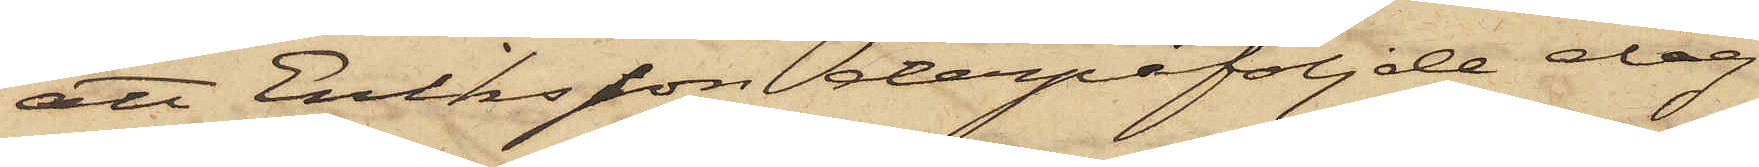att Eriksson derpåföljde dag
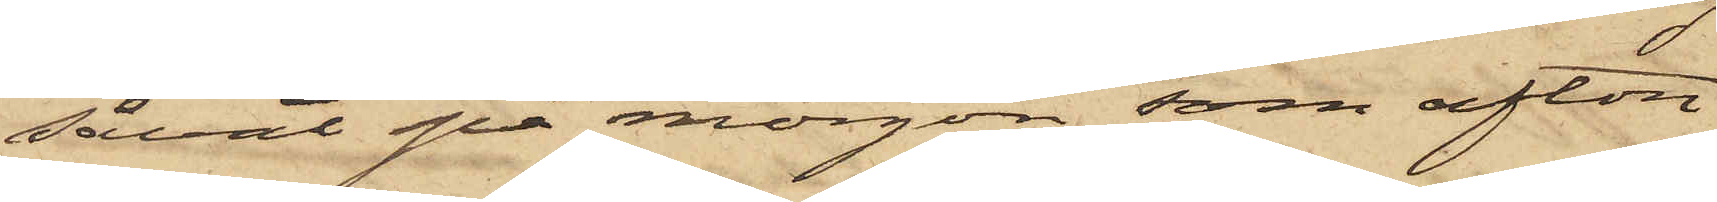såväl på morgon som afton
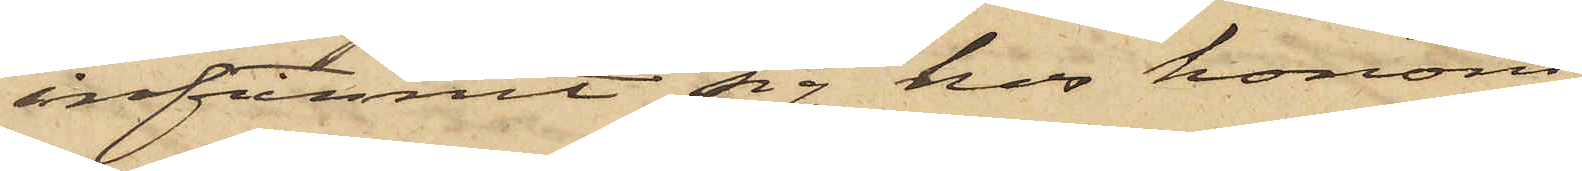infunnit sig hos honom
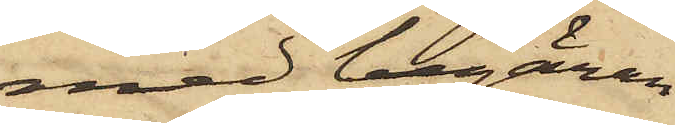med begäran
